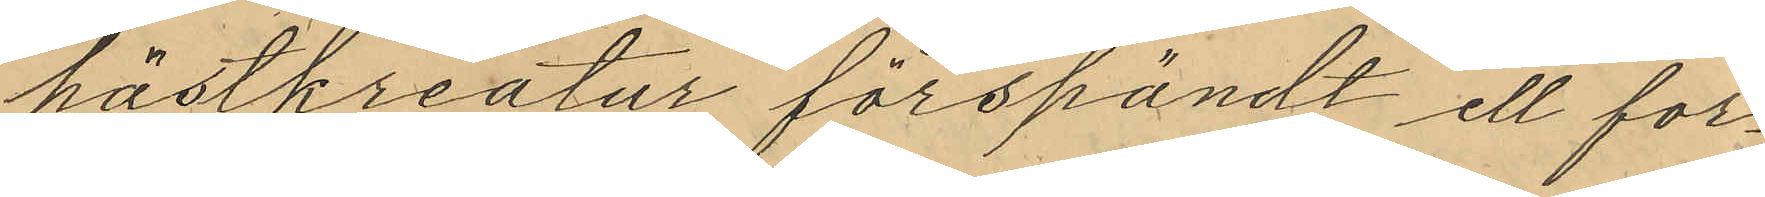hästkreatur förspändt ell for¬
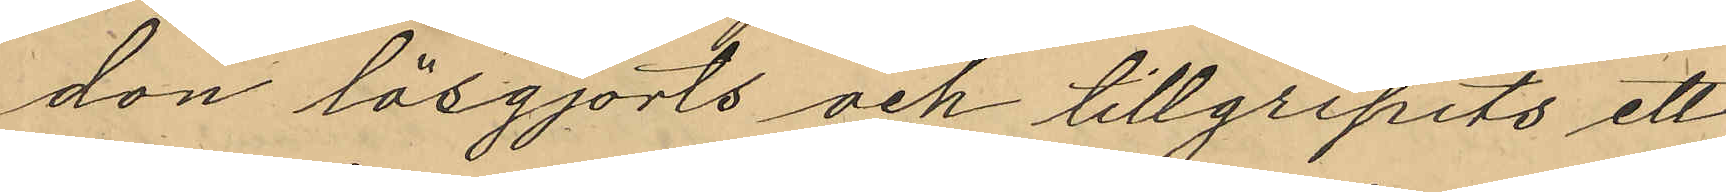don lösgjorts och tillgripits ett
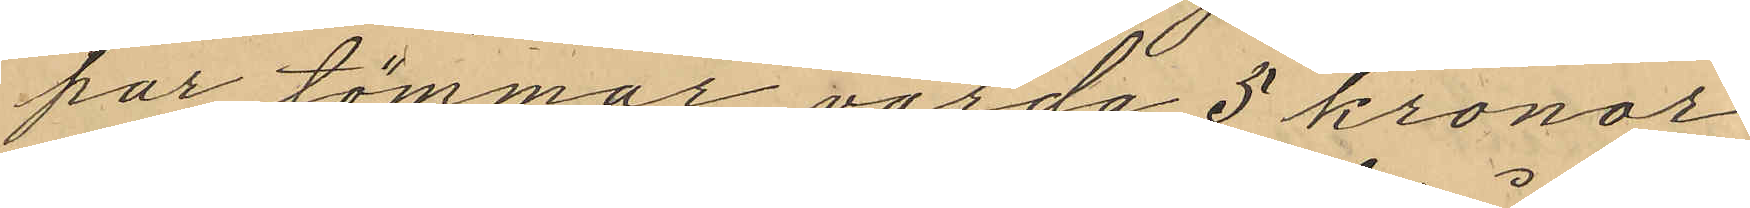par tömmar, värda 5 kronor
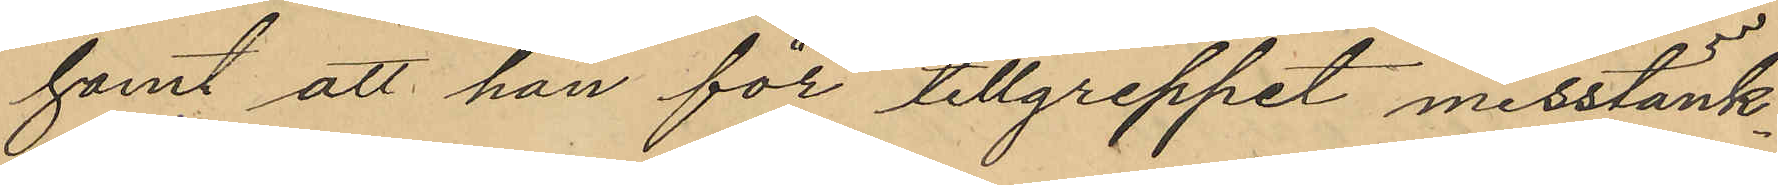samt att han för tillgreppet misstänk¬
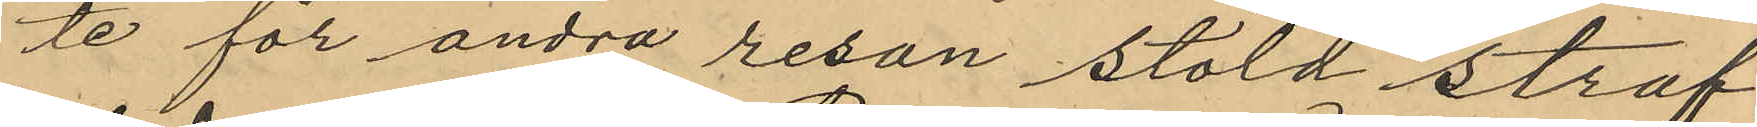te för andra resan stöld straf¬
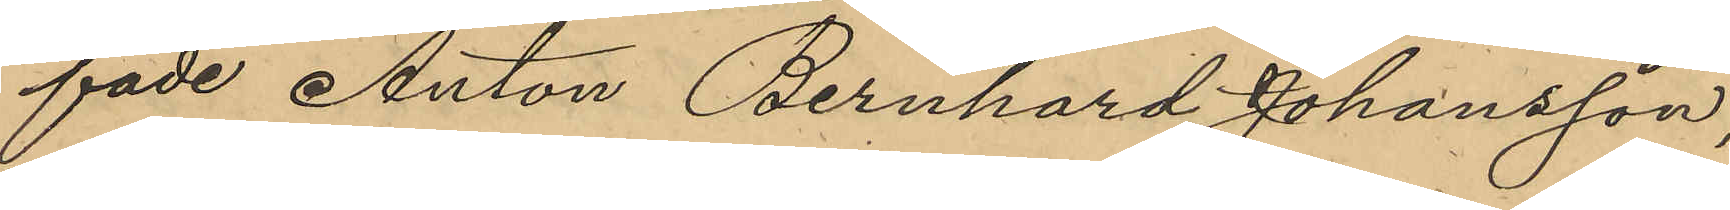fade Anton Bernhard Johansson,
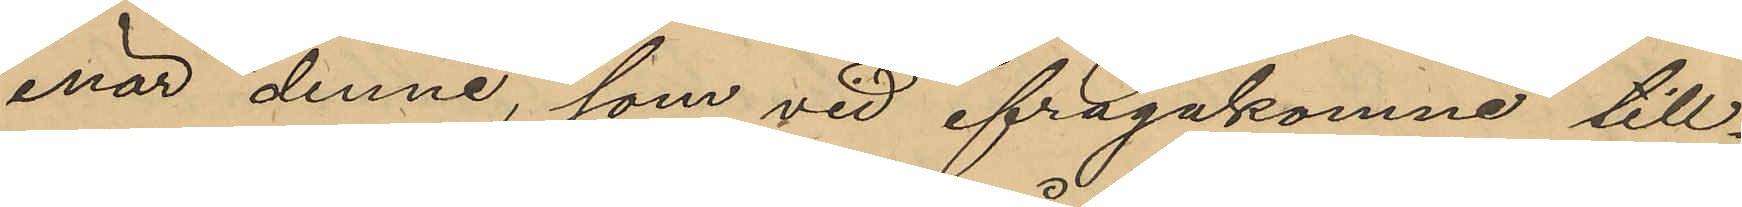enär denne, som vid ifrågakomne till¬
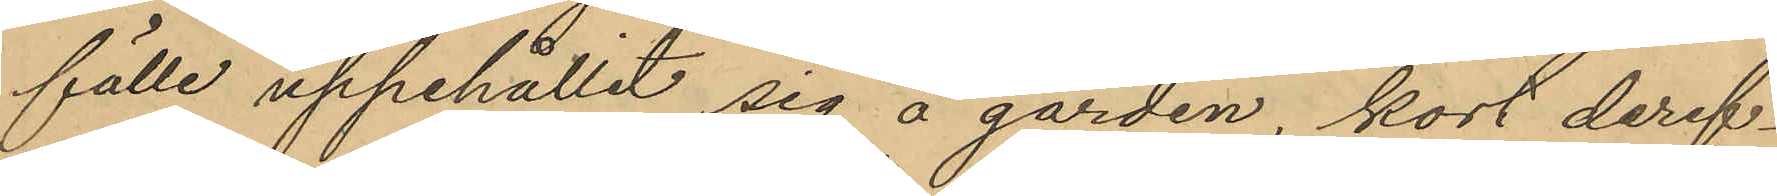fälle uppehållit sig å gården, kort deref¬
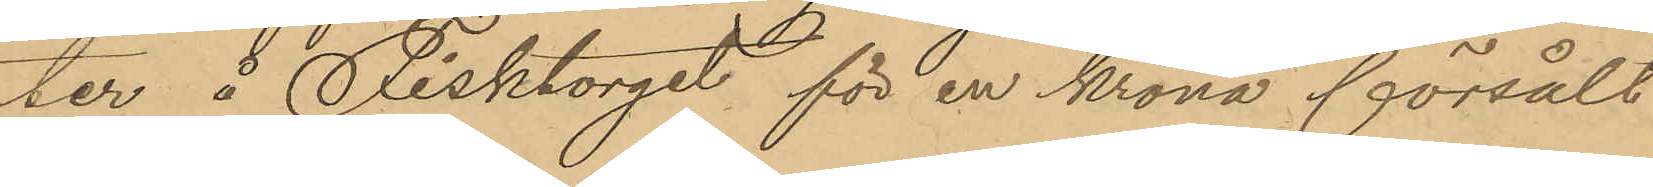ter å Fisktorget för en krona försålt
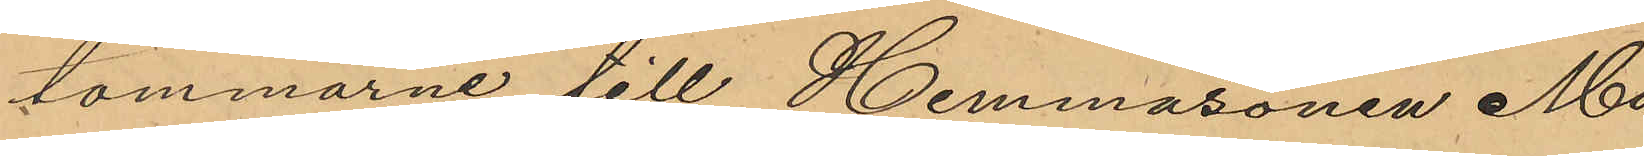tömmarne till Hemmasonen Mar¬
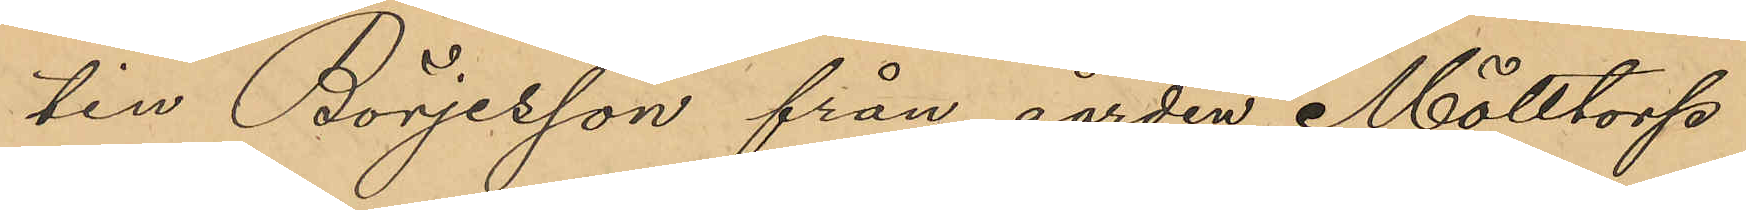tin Börjesson från gården Mölltorp
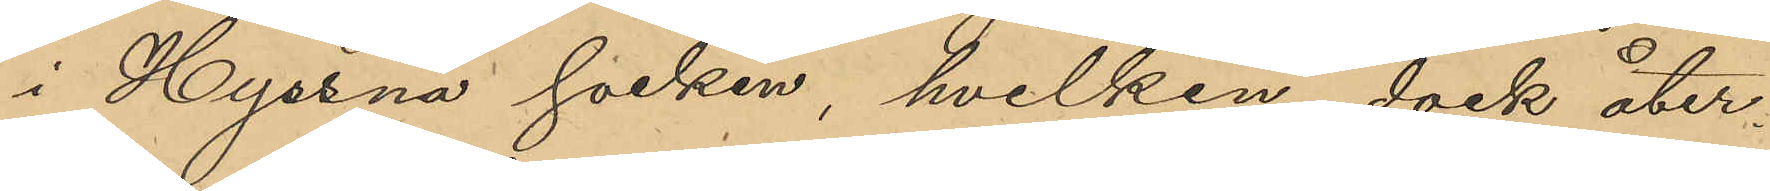i Hyssna socken, hvilken dock åter¬
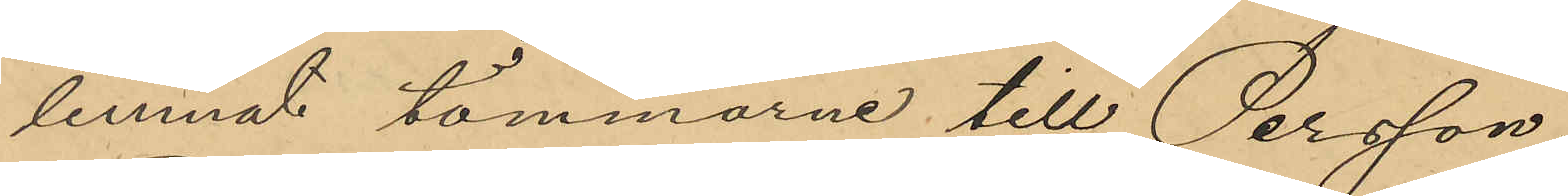lemnat tömmarne till Persson;
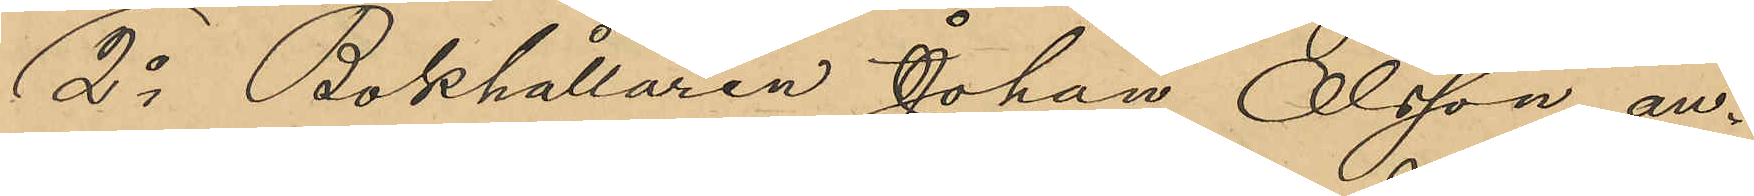2o Bokhållaren Johan Olsson, an¬
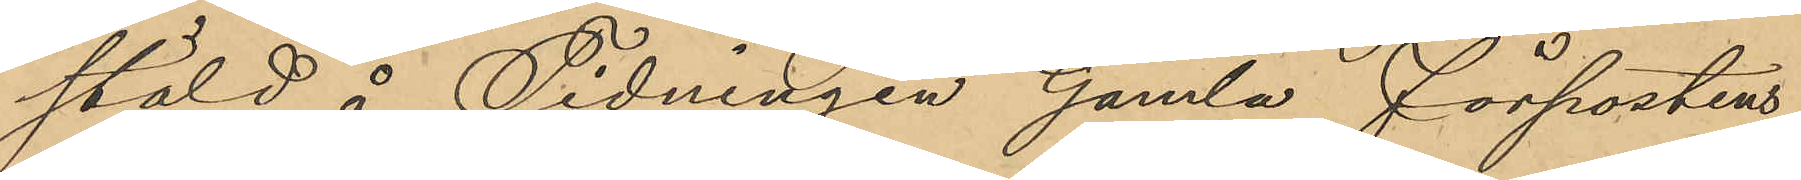stäld å Tidningen Gamla förpostens
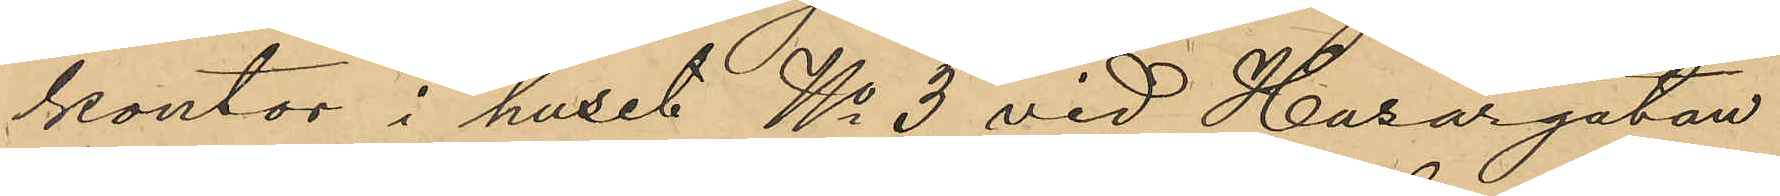kontor i huset No 3 vid Husargatan
